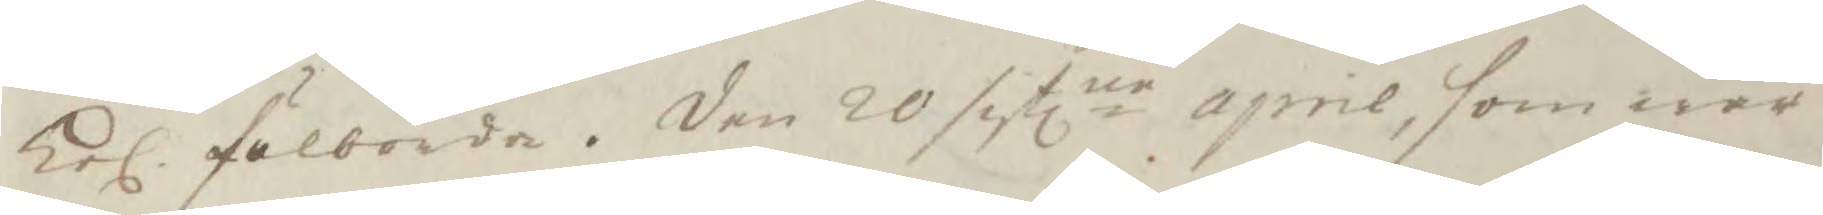kel. fulborda. Den 20 sistlne aprril, som war 
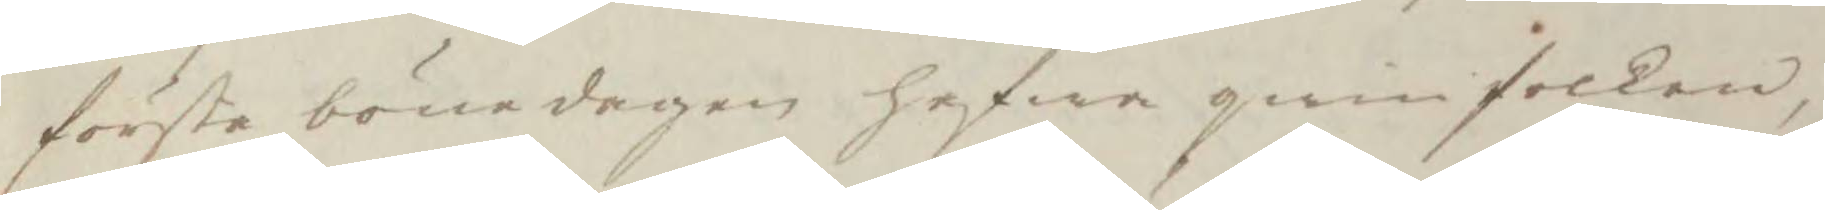första bönedagen hafwa qwinfolken,
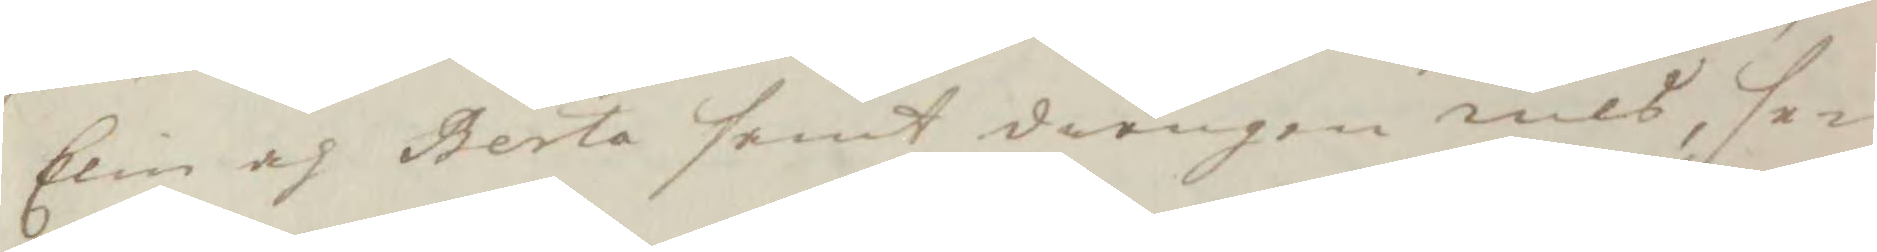Elin och Berta samt drängen nils, se¬
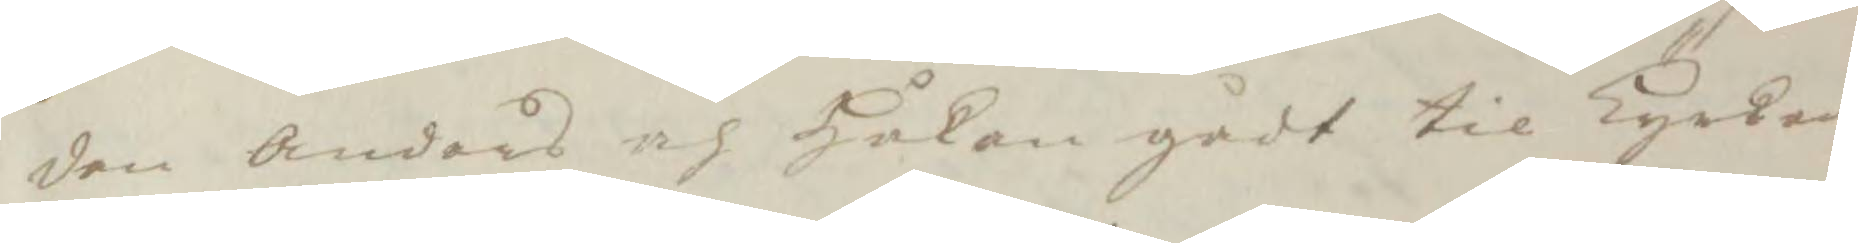den Anders och Håkan gådt til Kyrkan,
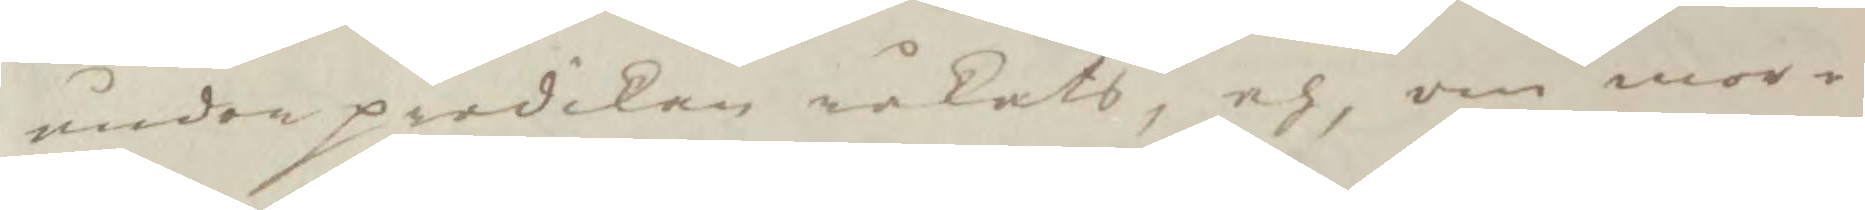under predikan råkats, och, om mor¬
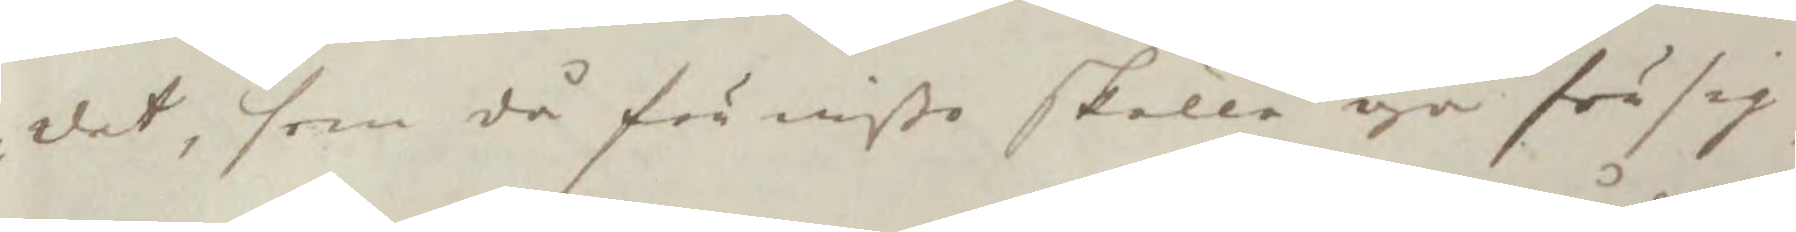det, som då för wißo skulle gå för sig
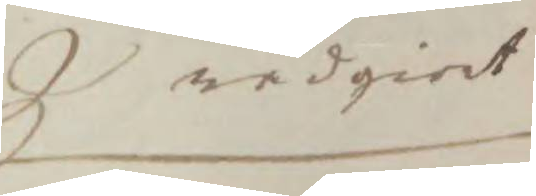rådgiordt
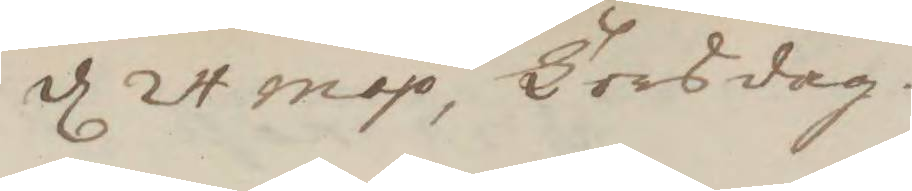d 24 may Torsdag. 
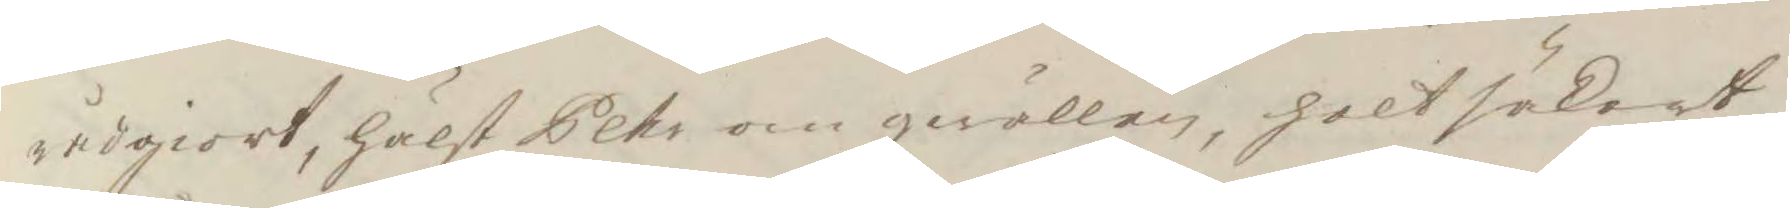rådgiort, hälst Pehr om qwällen, helt säkert
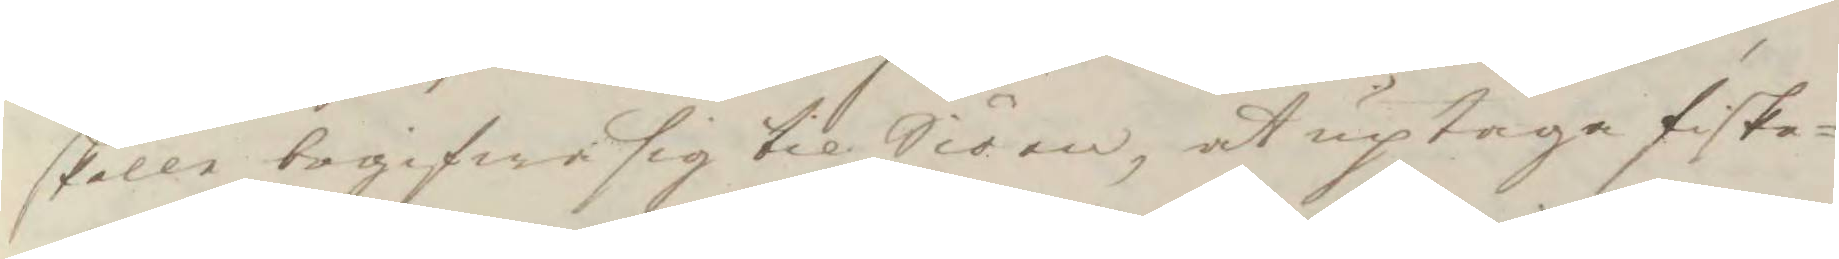skulle begifwa sig til Siöen, at uptaga fiske¬
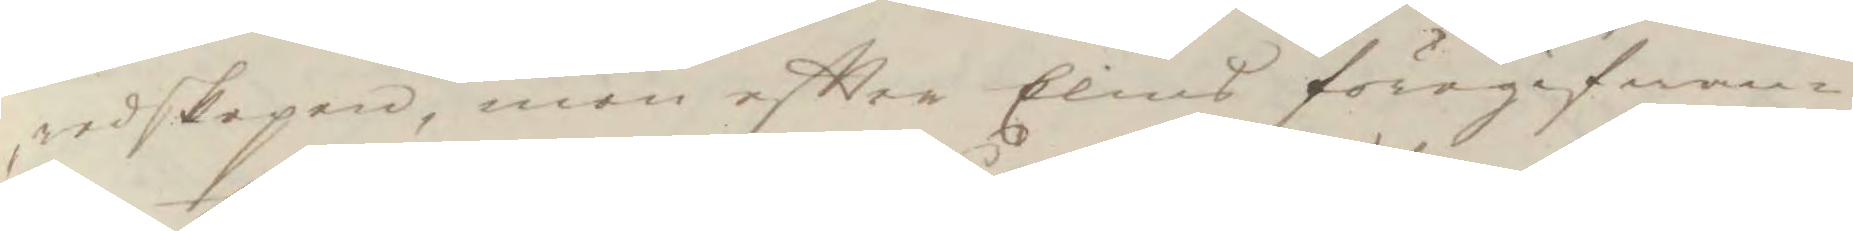redskapen, men eftter Elins föregifwan¬
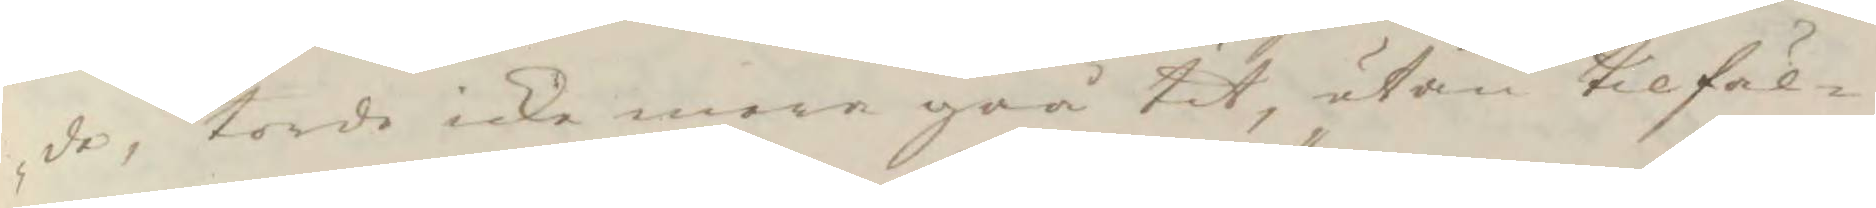de, torde icke mera gåå tit, utan tilfäl¬
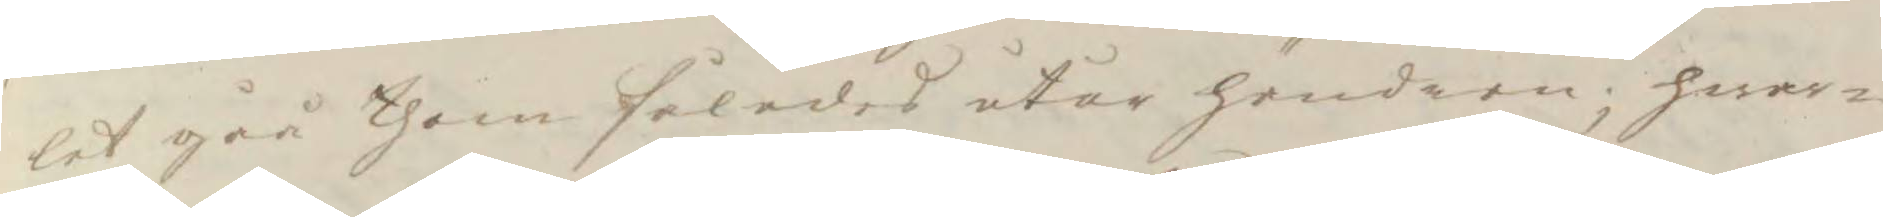let gåå them således utur händern; hwar¬
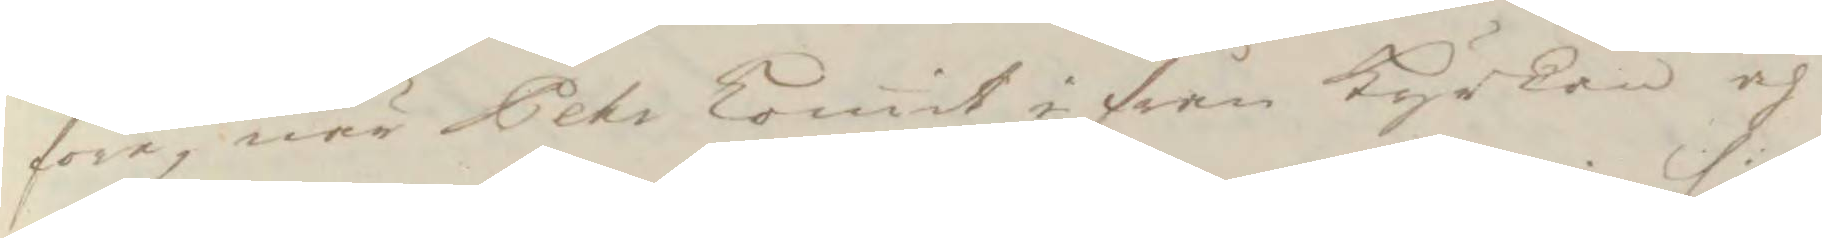före, när Pehr komit i från Kyrken och
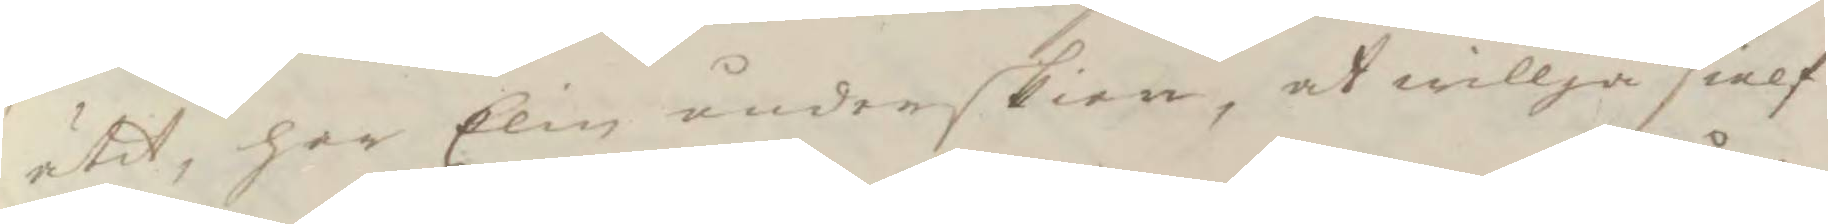ätit, har Elin underskien, at willja sielf
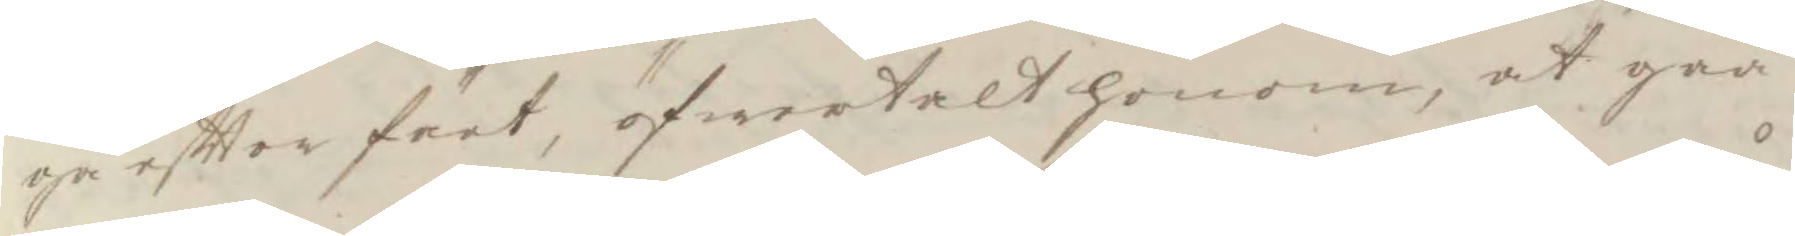ge eftter färt, öfwertalt honom, at gåå
